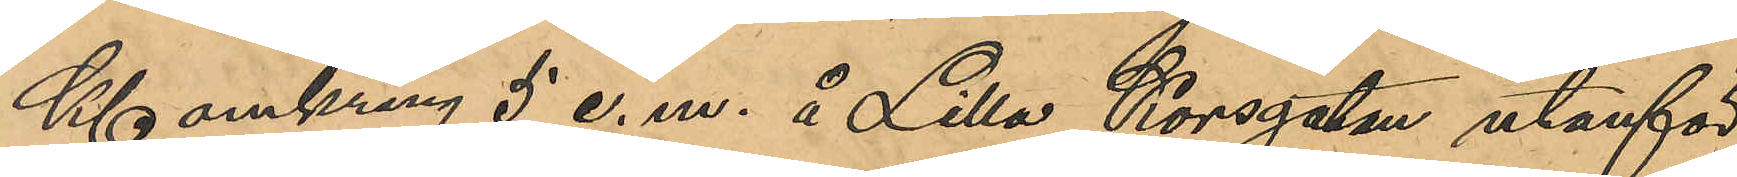Kl omkring 5 e. m. å Lilla Korsgatan utanför
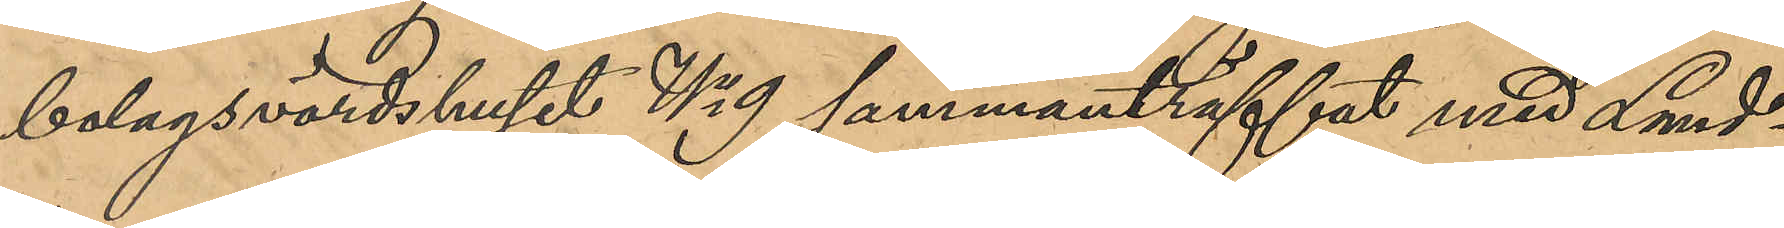bolagsvärdshuset No 9 sammanträffat med Lund¬
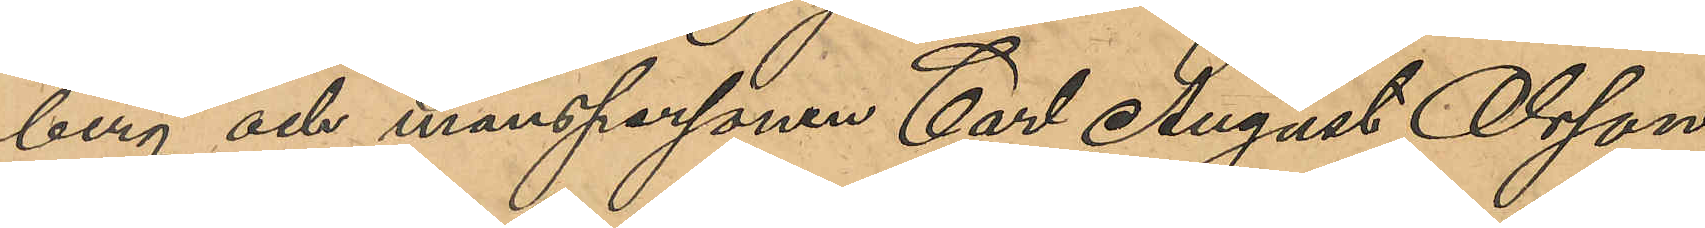berg och manspersonen Carl August Olsson
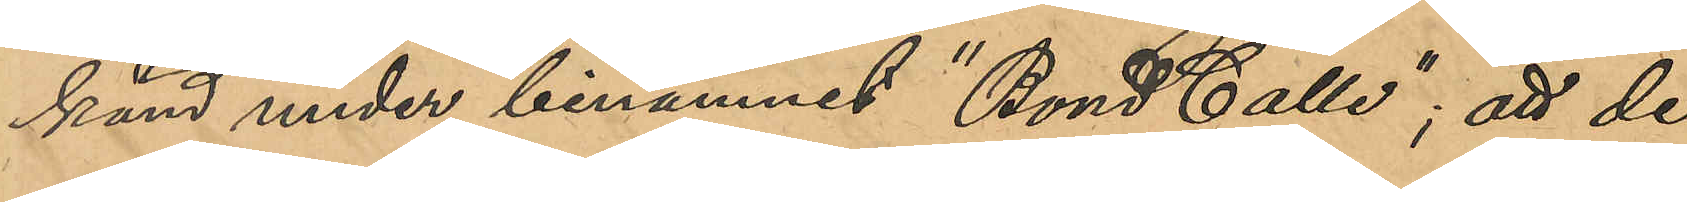känd under binamnet "Bond Calle"; att de
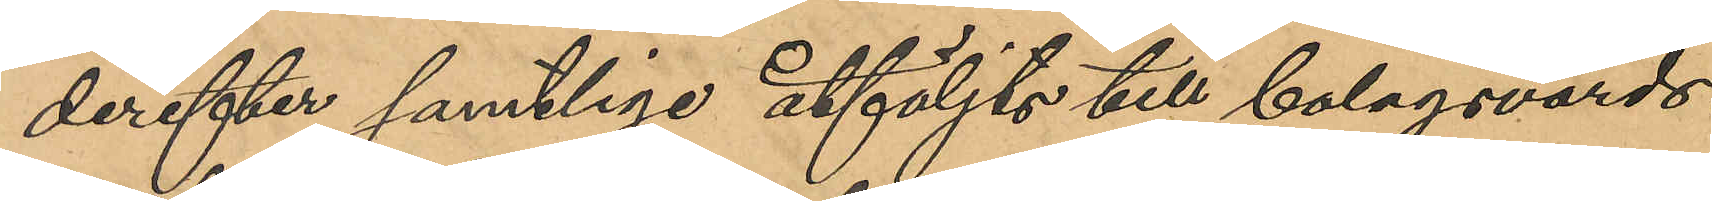derefter samtlige åtföljts till bolagsvärds¬
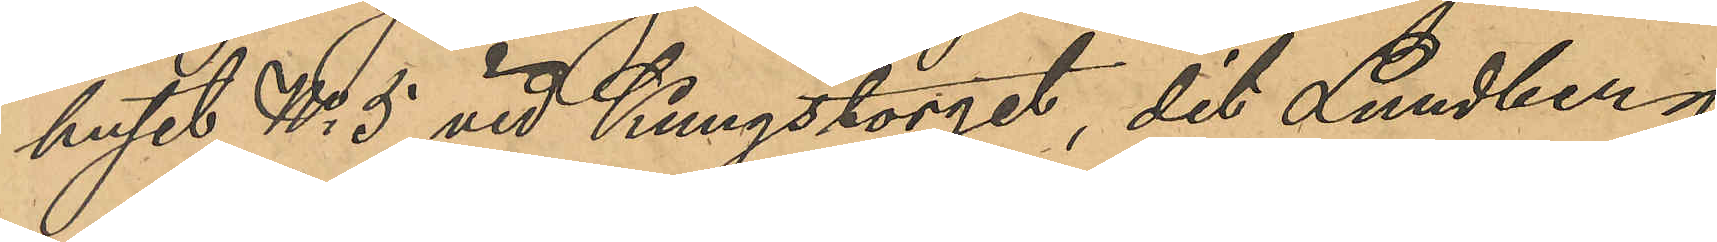huset No 5 vid Kungstorget, dit Lundberg
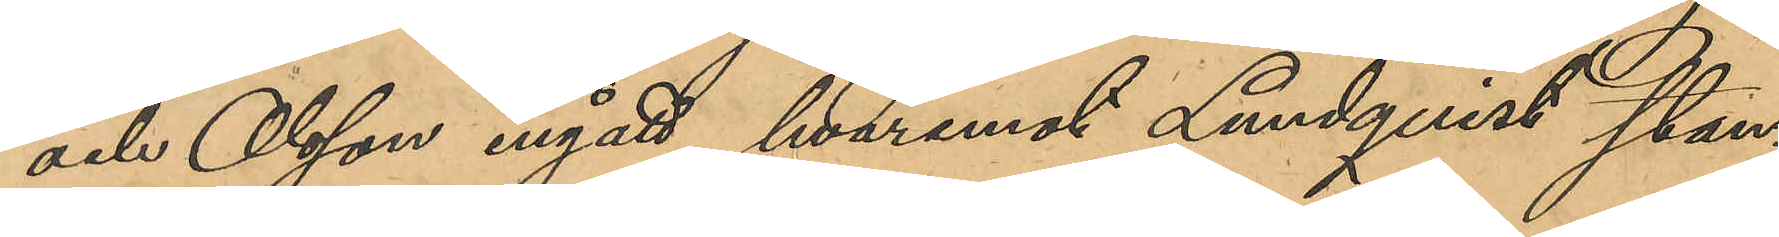och Olsson ingått, hvaremot Lundqvist stan¬
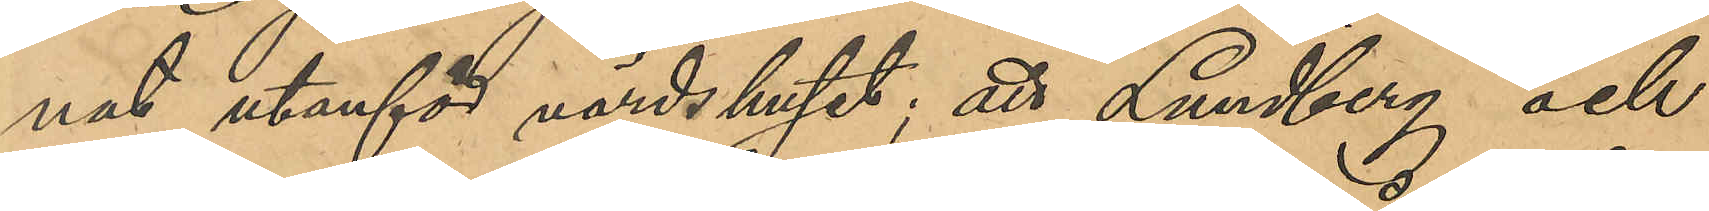nat utanför värdshuset; att Lundberg och
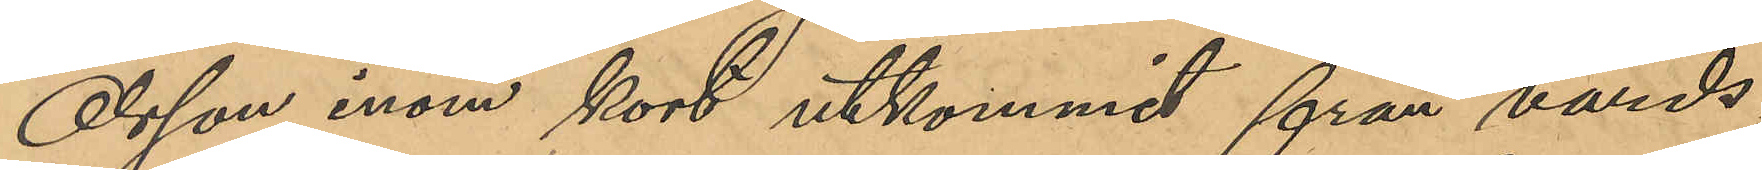Olsson inom kort utkommit från värds¬
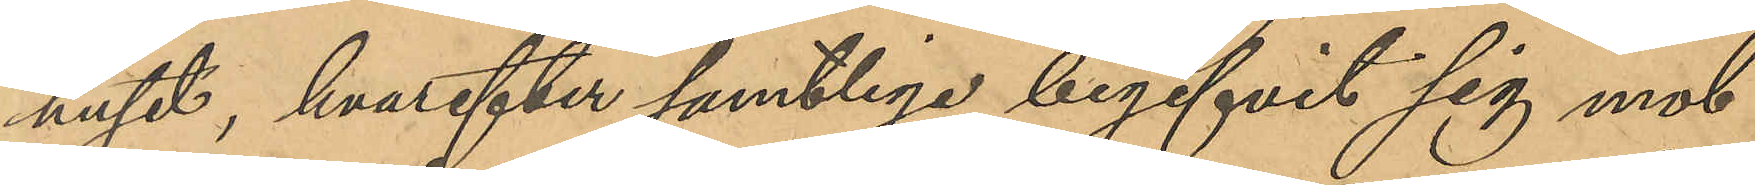huset, hvarefter samtliga begifvit sig mot
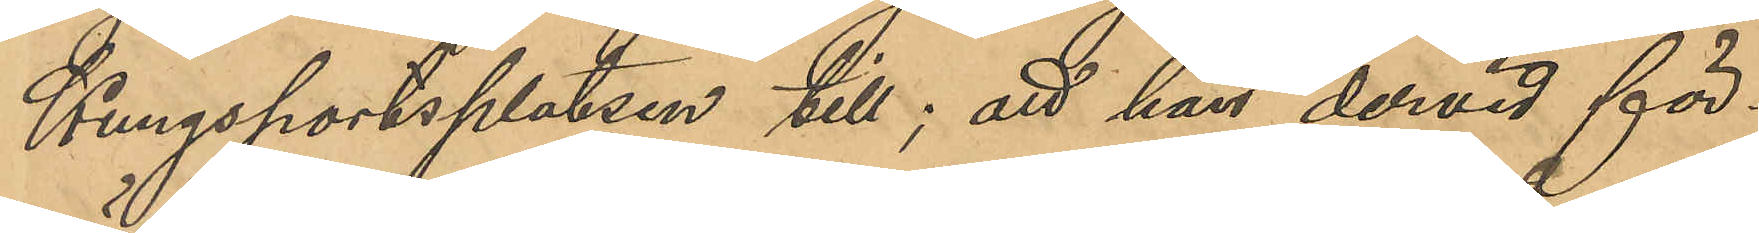Kungsportsplatsen till; att han dervid för¬
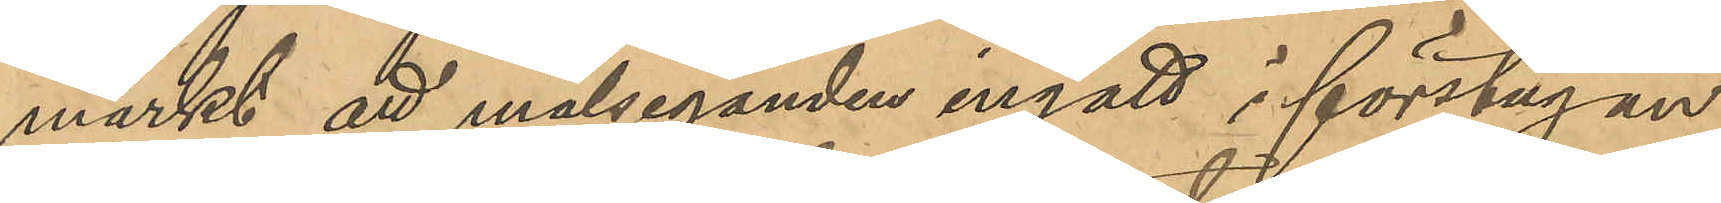märkt att målseganden ingått i förstugan
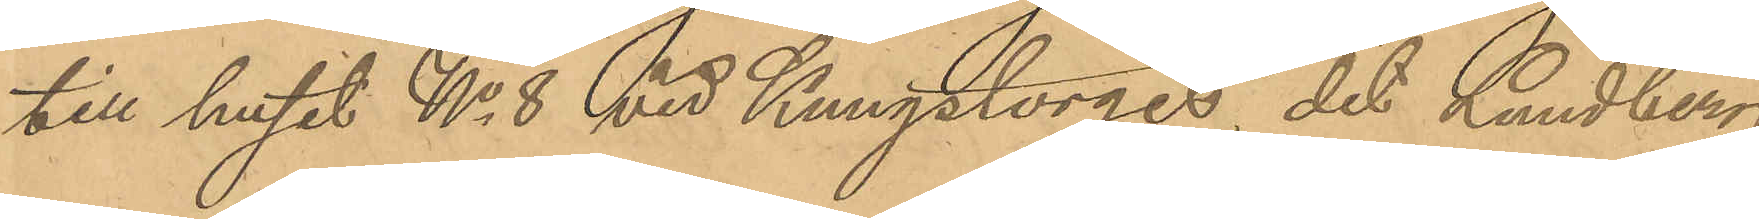till huset No 8 vid Kungstorget, dit Lundberg
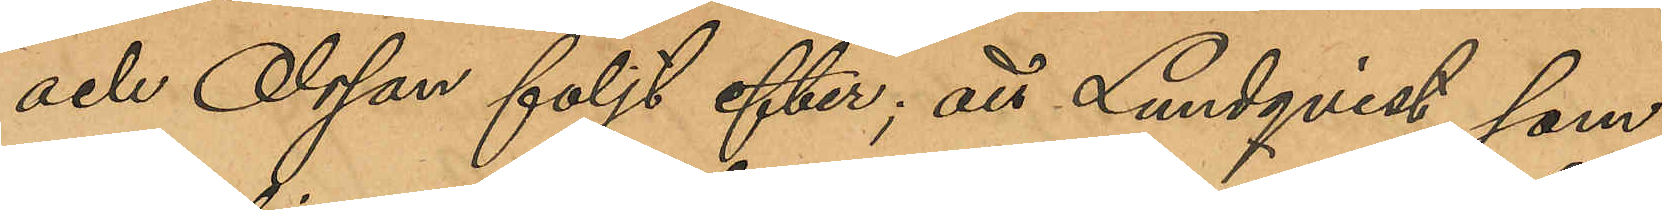och Olsson följt efter; att Lundqvist, som
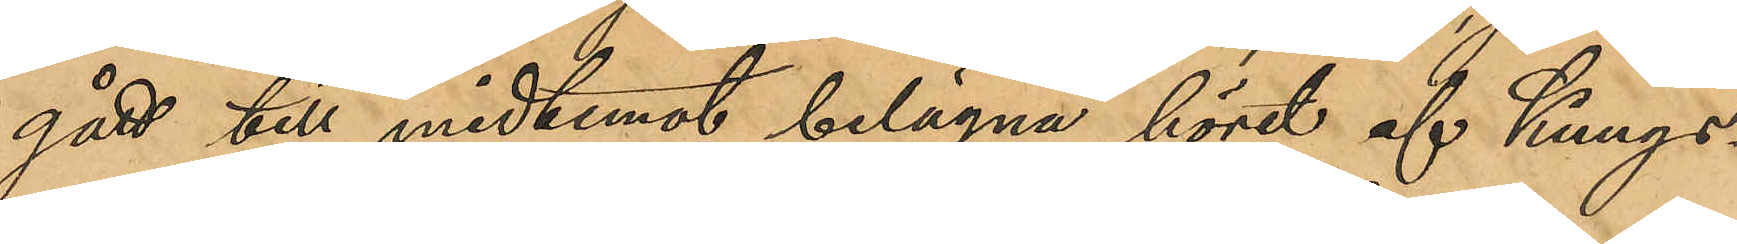gått till midtemot belägna höret af Kungs¬
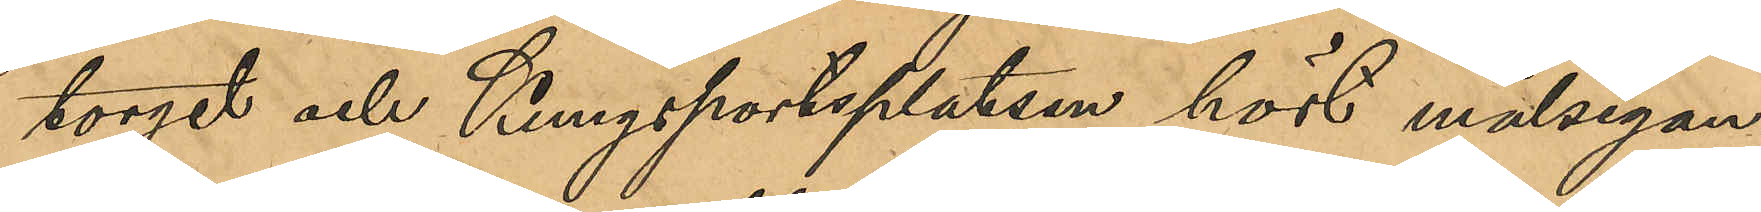torget och Kungsportsplatsen hört målsegan¬
